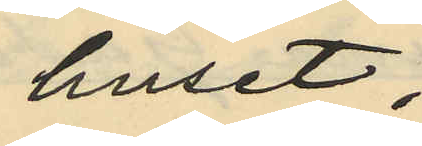huset
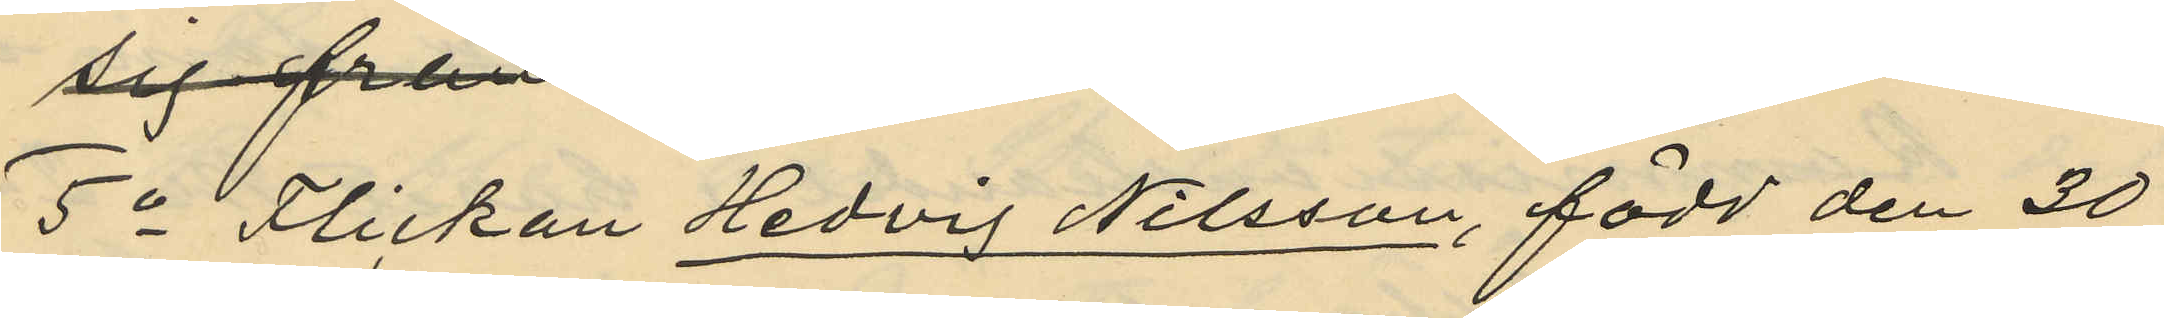5o Flickan Hedvig Nilsson, född den 20
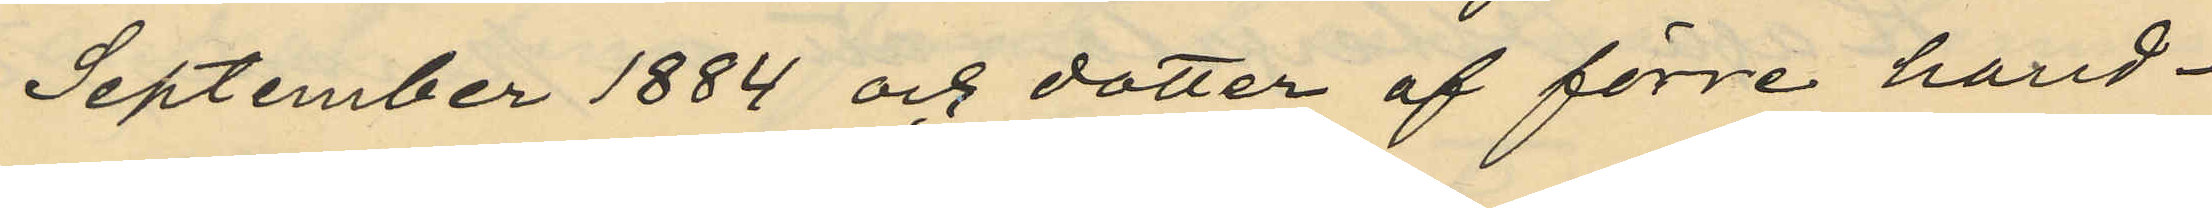September 1884 och dotter af förre hand¬
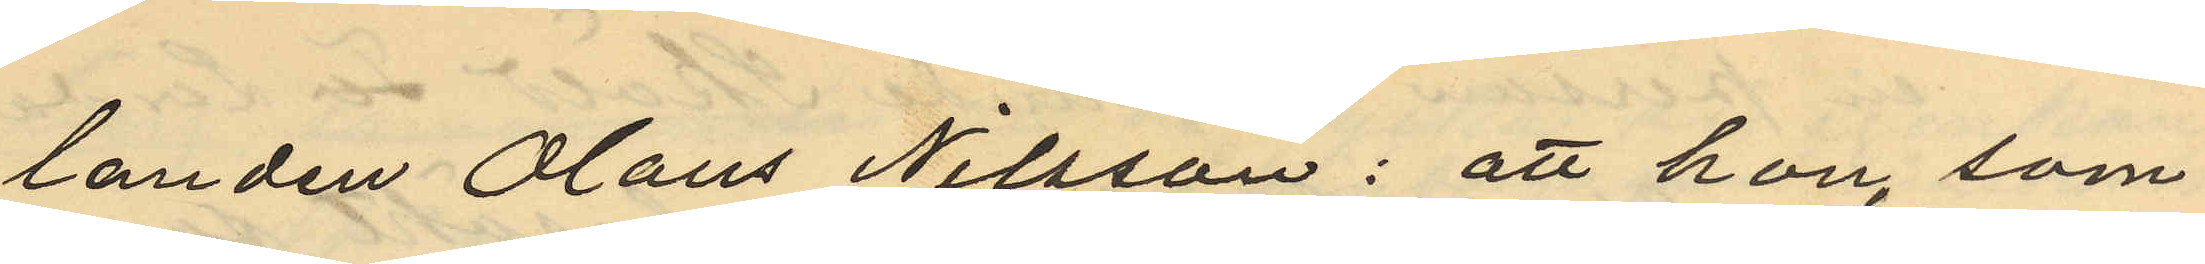landen Olaus Nilsson: att hon, som
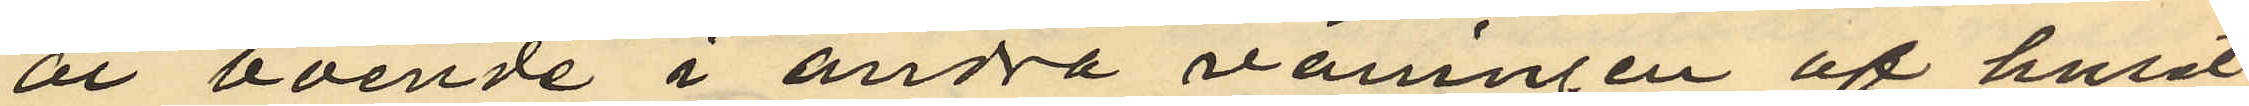är boende i andra våningen af huset
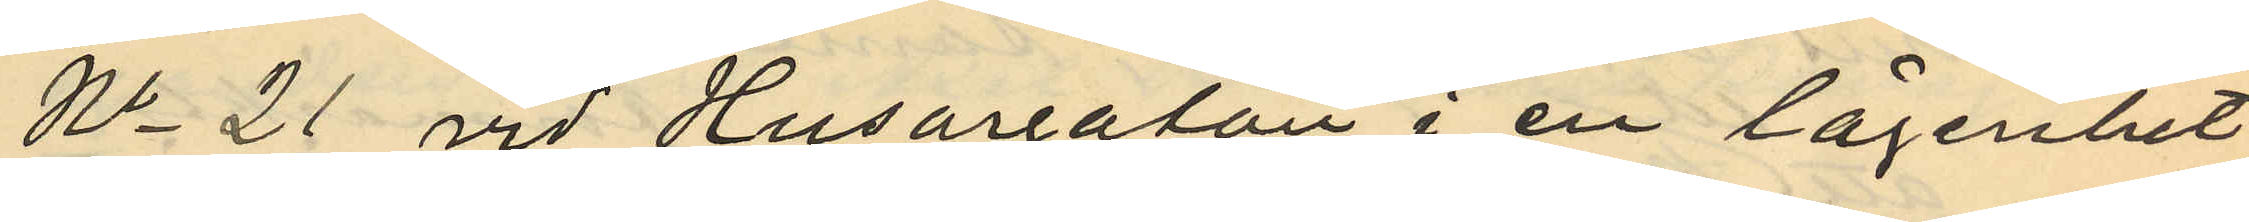No 21 vid Husargatan i en lägenhet
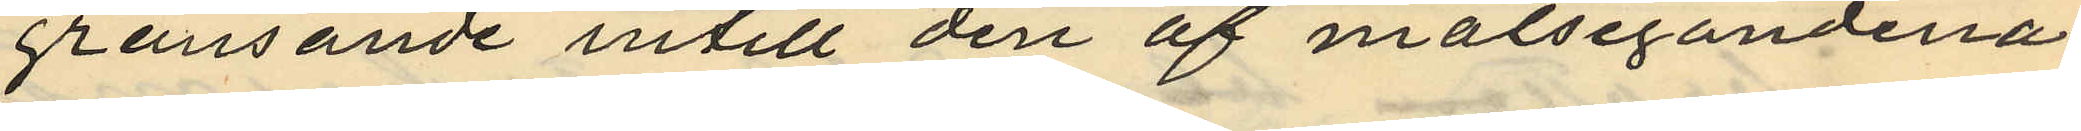gränsande intill den af målsegandena
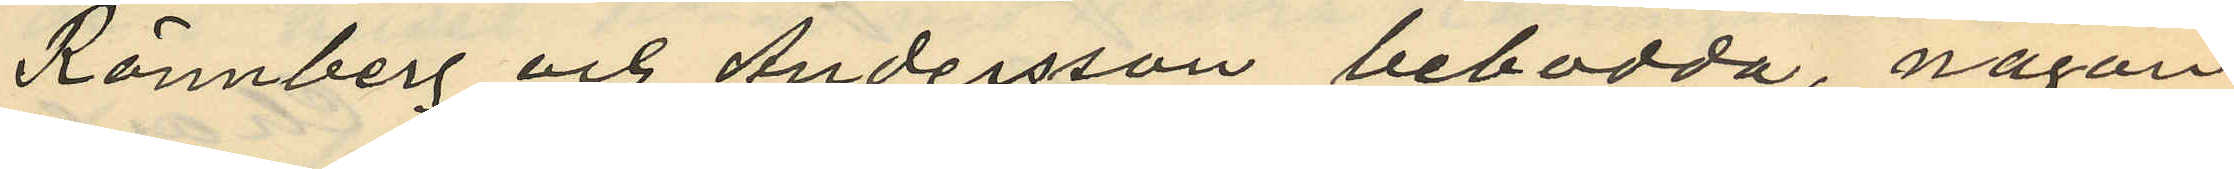Rönnberg och Andersson bebodda, någon
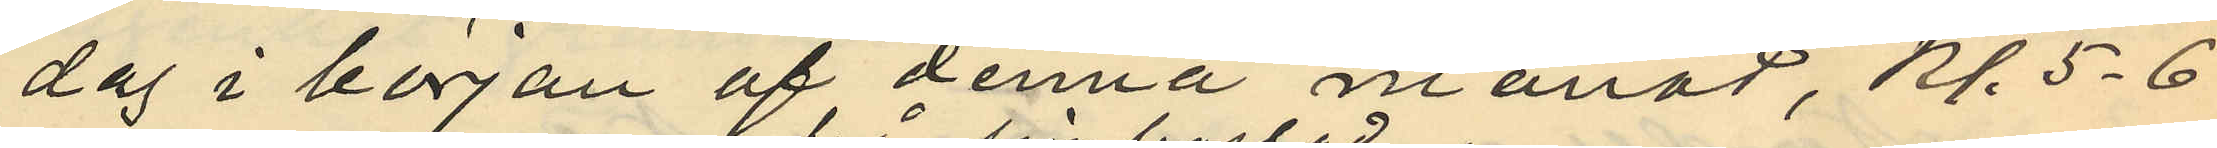dag i början af denna månad, Kl. 5-6
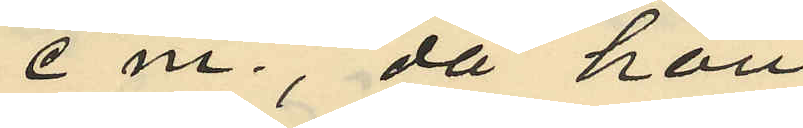em., då hon
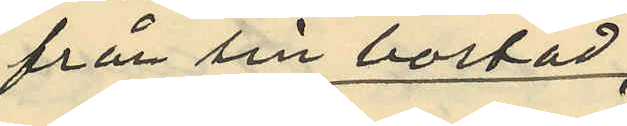från sin bostad
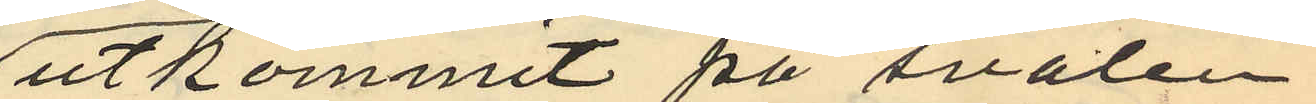utkommit på svalen
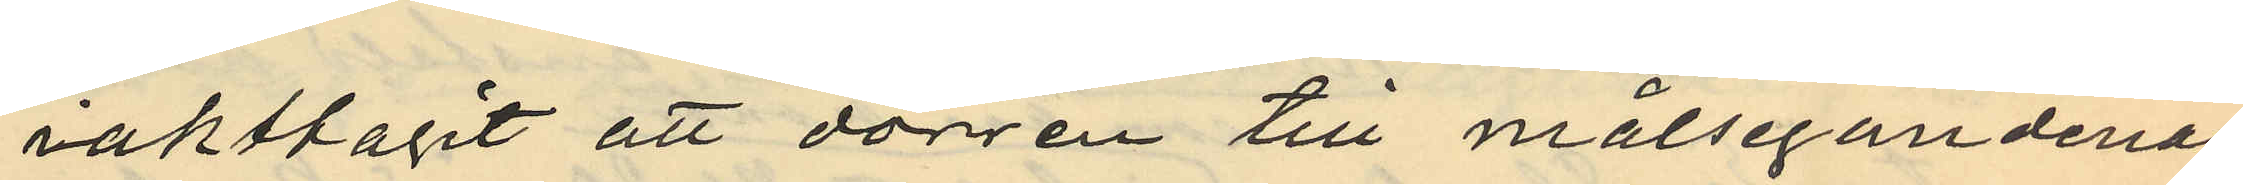iaktagit att dörren till målsegandenas
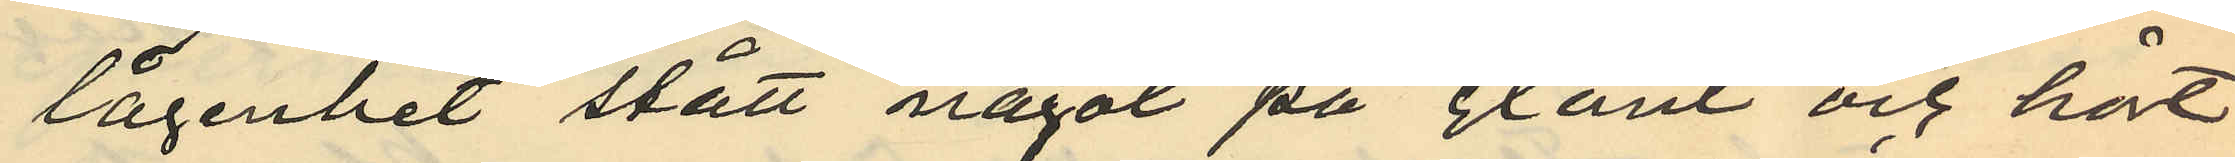lägenhet stått något på glänt och hört
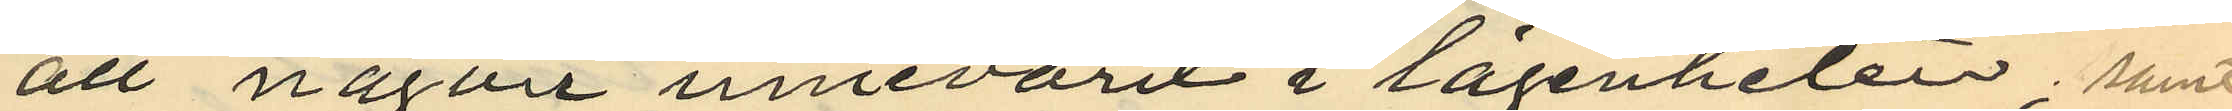att någon innevarit i lägenheten; samt
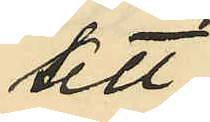att
